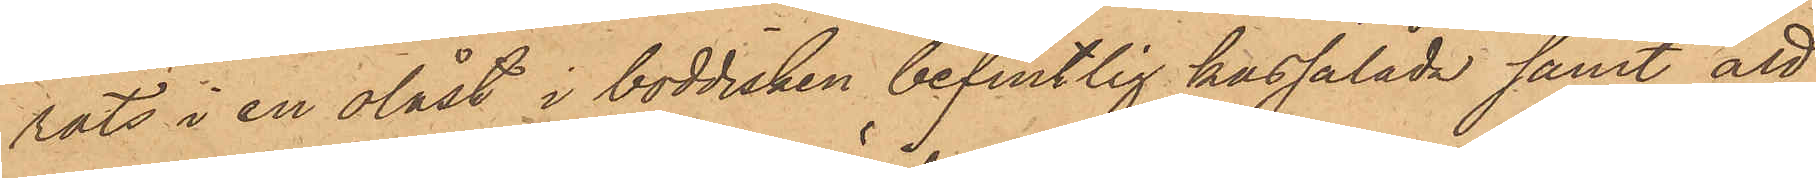rats i en olåst i boddisken befintlig kassalåda samt att
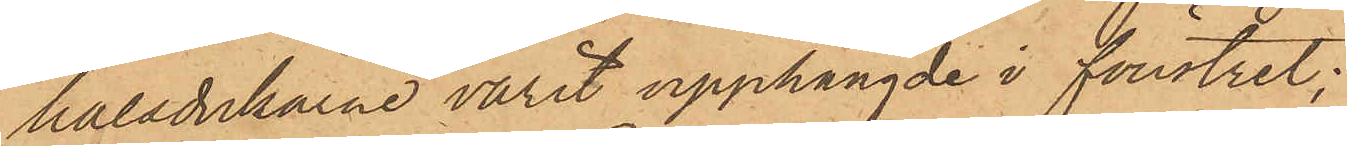halsdukarne varit upphängde i fönstret;
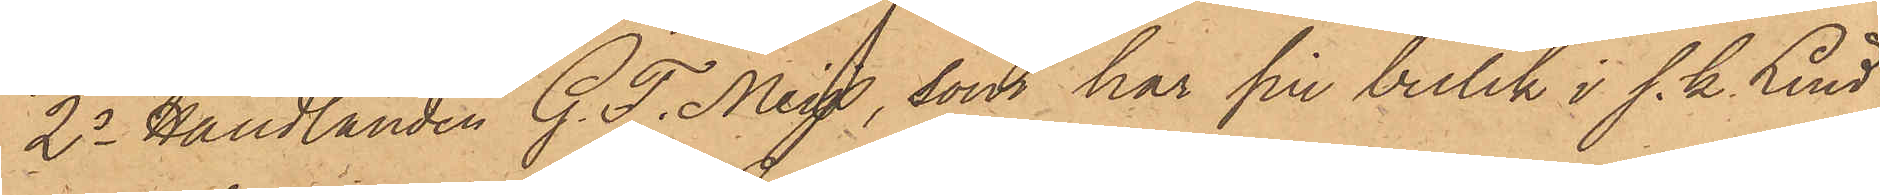2o Handlanden G. F. Meys, som har sin butik i s. k. Lind¬
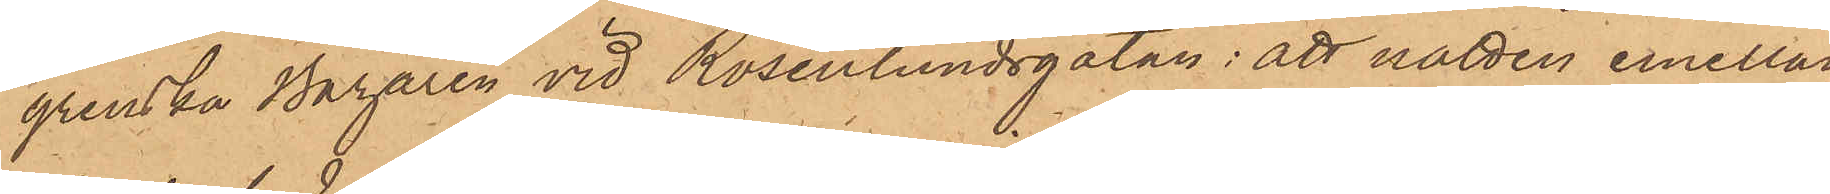grenska Bazaren vid Rosenlundsgatan: att natten emellan
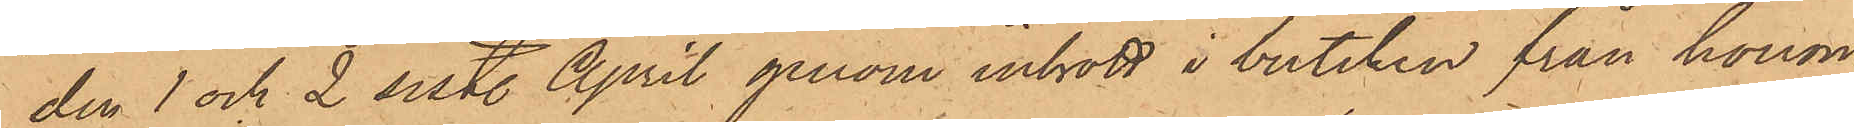den 1 och 2 sistl. April genom inbrott i butiken från honom
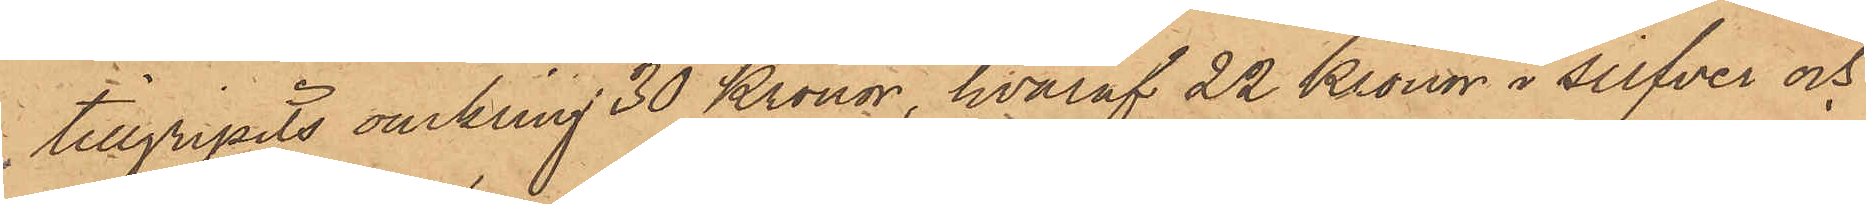tillgripits omkring 30 Kronor, hvaraf 22 Kronor i silfver och
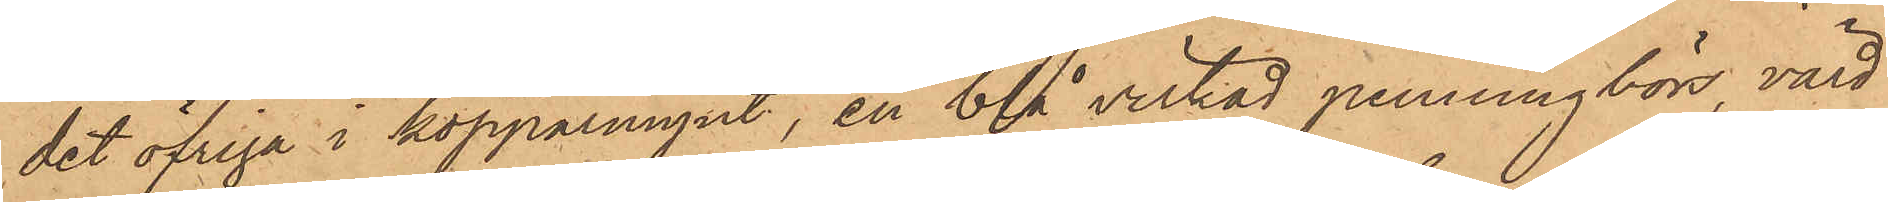det öfriga i kopparmynt, en blå virkad penningbörs, värd
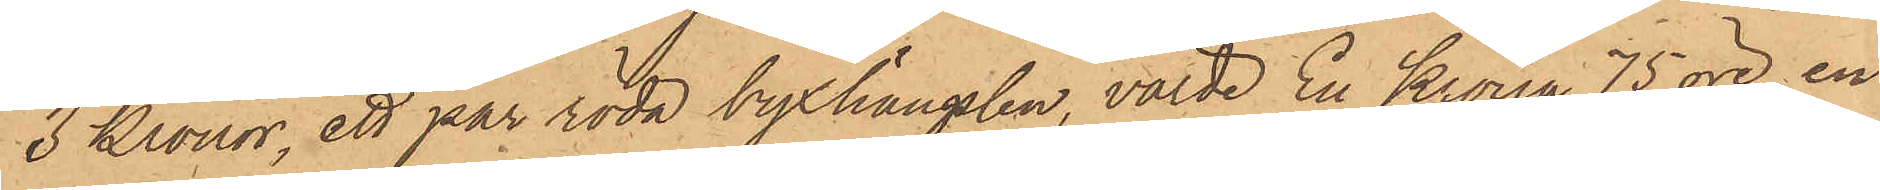3 Kronor, ett par röda byxhängslen, värde En Krona 75 öre, en
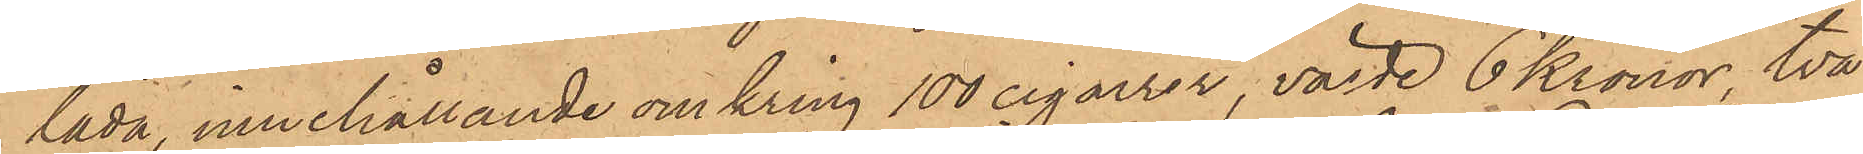låda, innehållande omkring 100 cigarrer, värde 6 Kronor, två
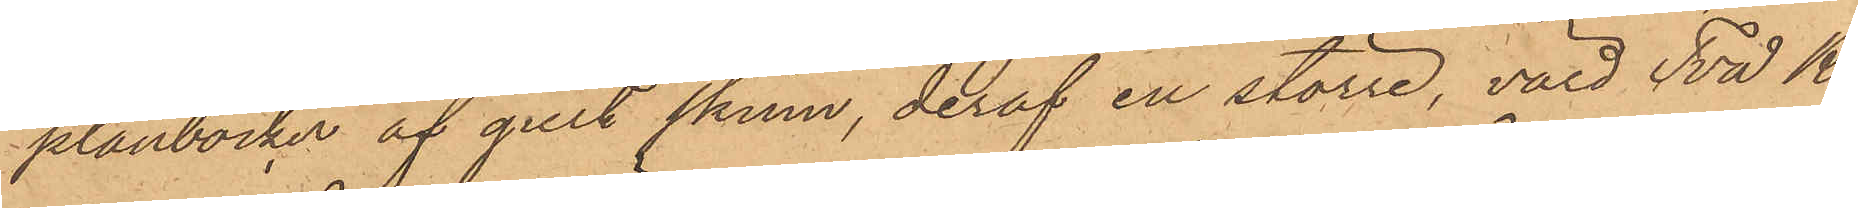plånböcker af gult skinn, deraf en större, värd Två Kr
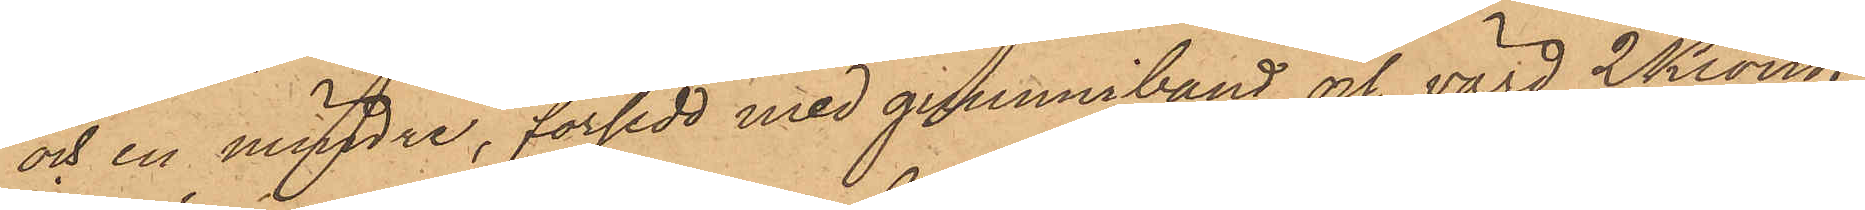och en mindre, försedd med gummiband och värd 2 Kronor
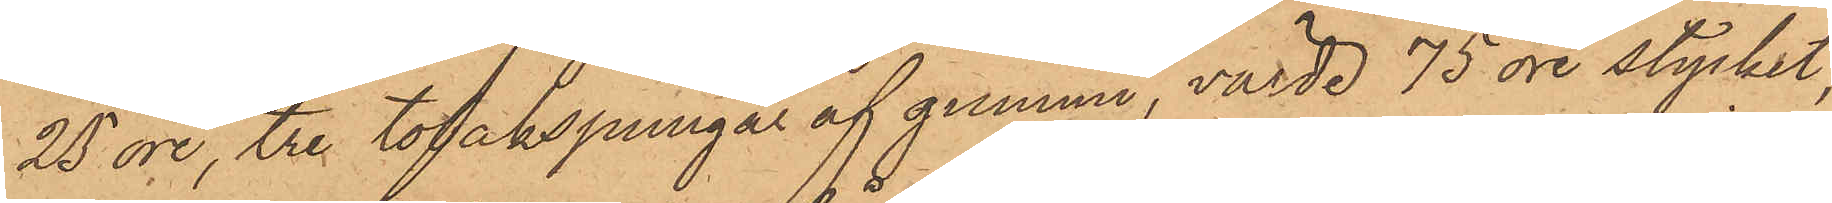25 öre, tre tobakspungar af gummi, värde 75 öre stycket,
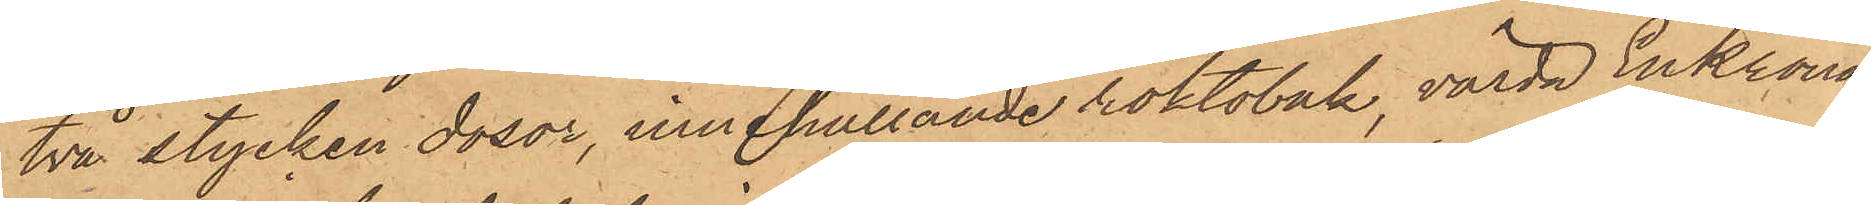två stycken dosor, innehållande röktobak, värda En Krona
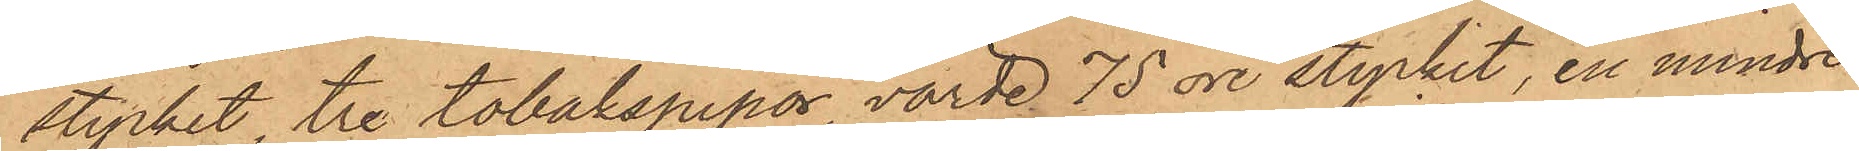stycket, tre tobakspipor, värde 75 öre stycket, en mindre
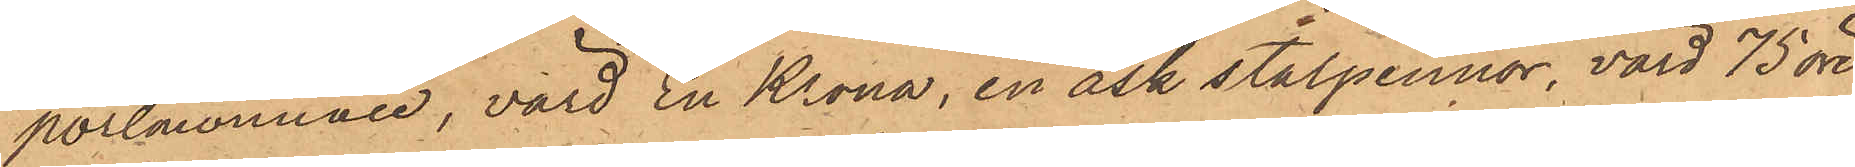portmonnaie, värd En Krona, en ask stålpennor, värd 75 öre,
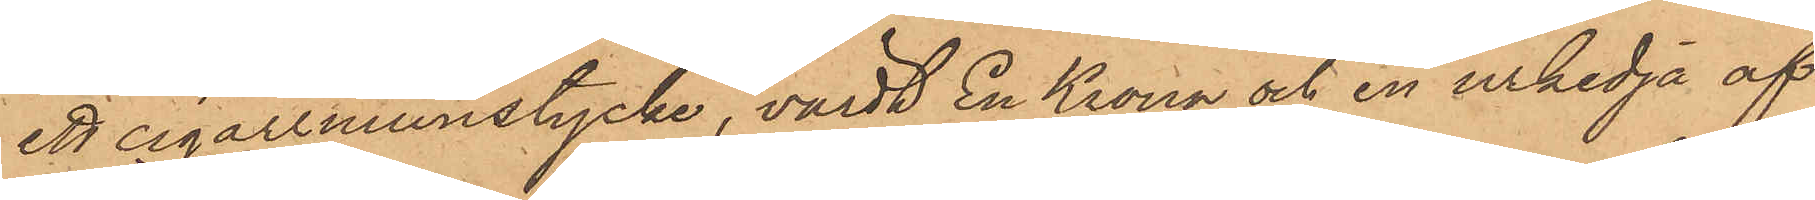ett cigarrmunstycke, värdt En Krona och en urkedja af
